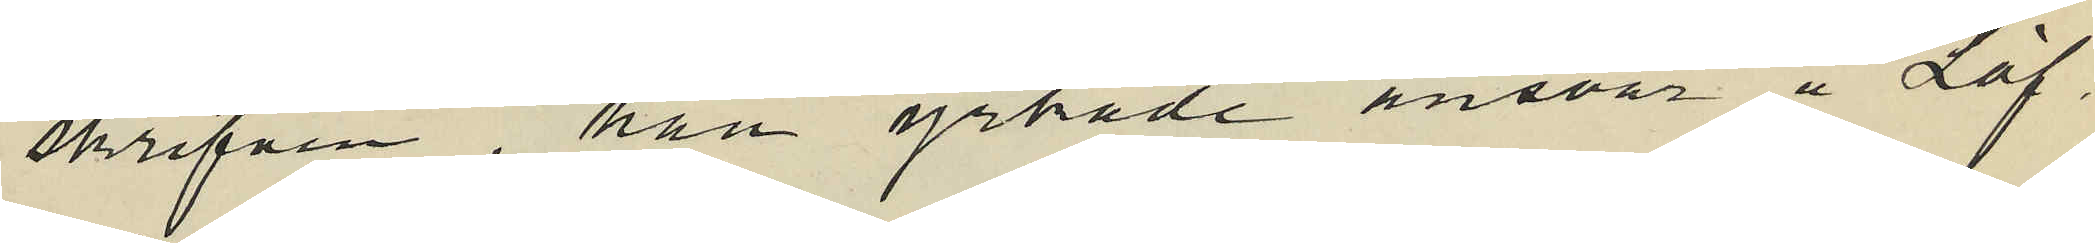skrifven, han yrkade ansvar å Löf¬
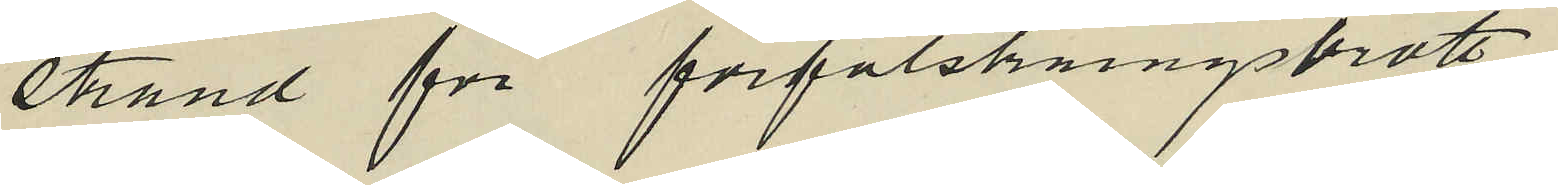strand för förfalskningsbrott.
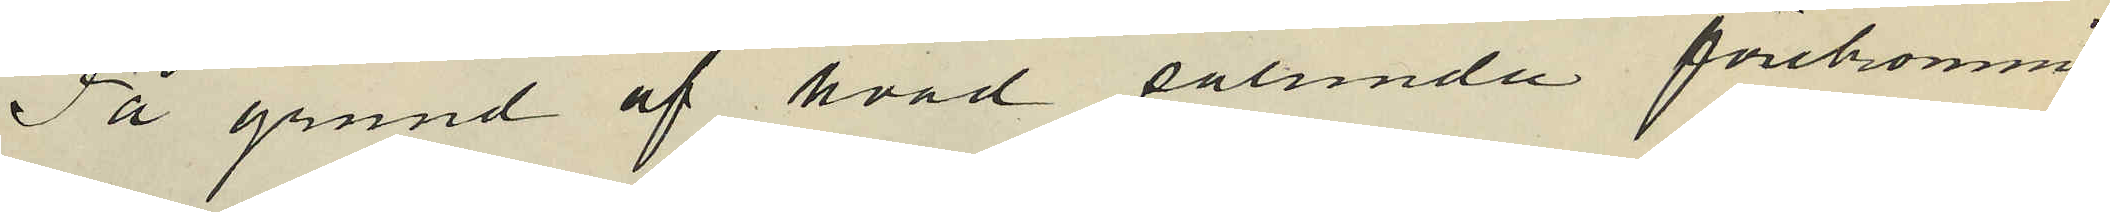På grund af hvad sålunda förekommit,
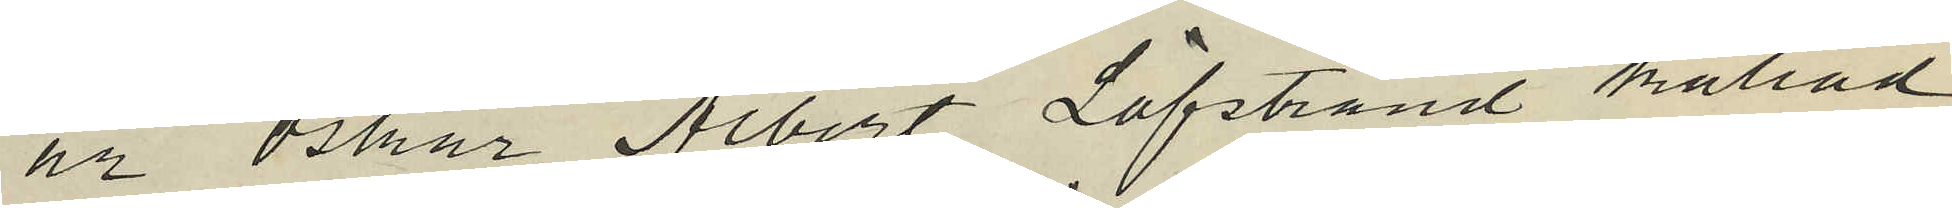är Oskar Albert Löfstrand kallad
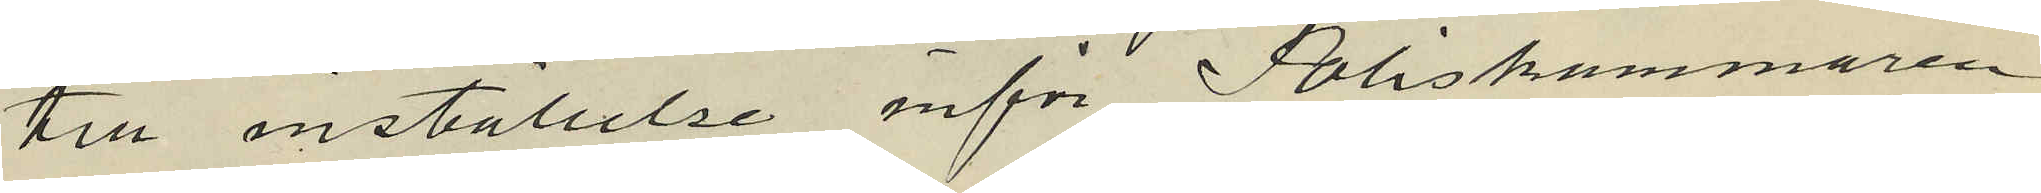till inställelse inför Poliskammaren
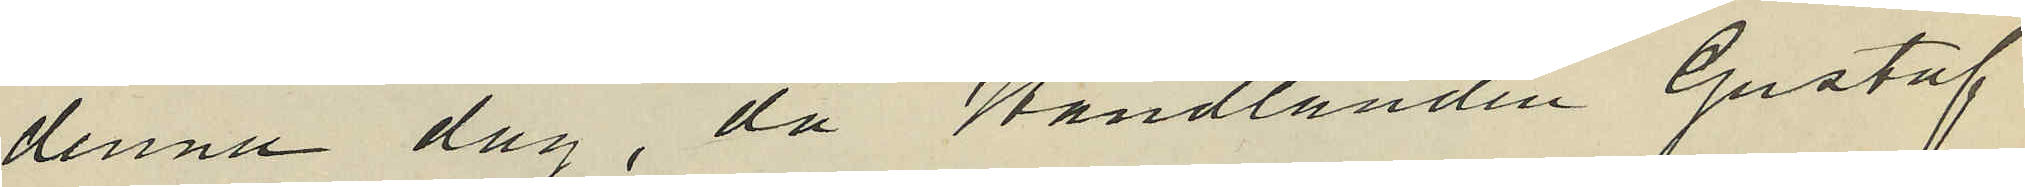denna dag då Handlanden Gustaf
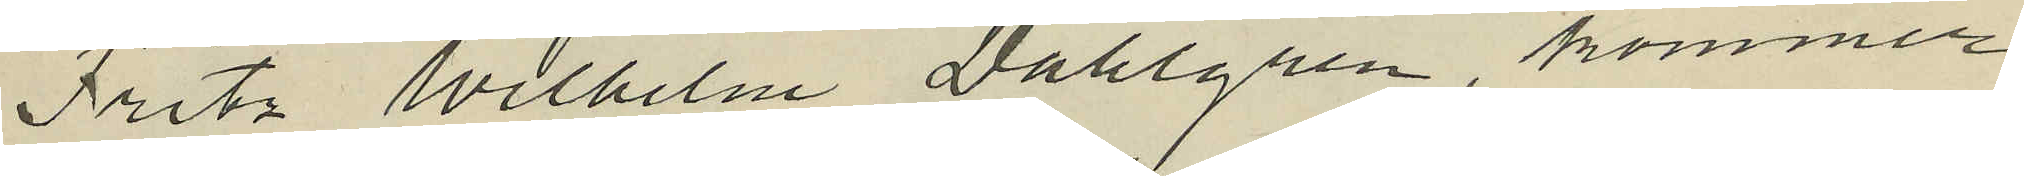Fritz Wilhelm Dahlgren, kommer
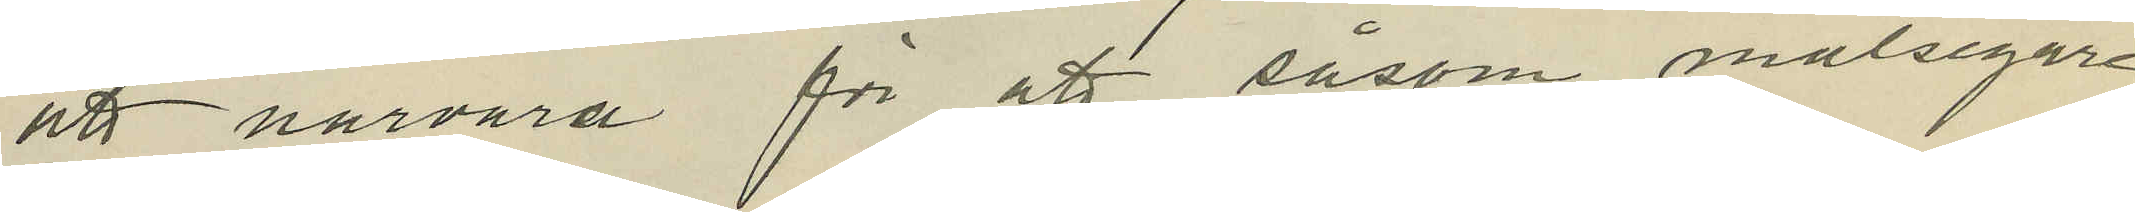att närvara för att såsom målsegare
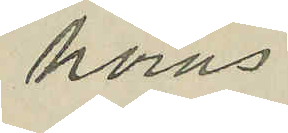höras.
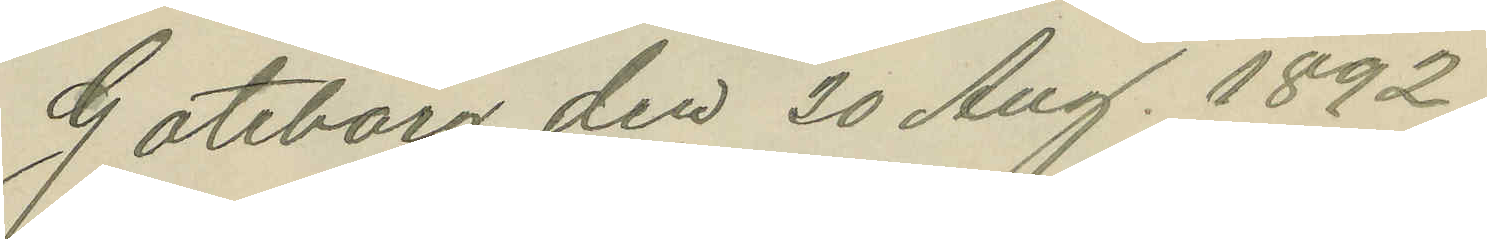Göteborg den 20 Aug. 1892.
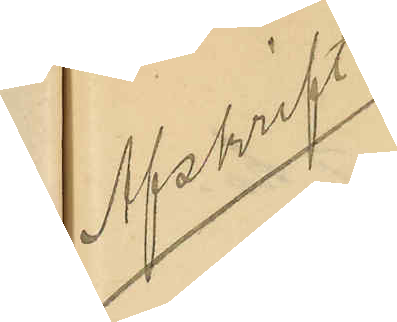Afskrift
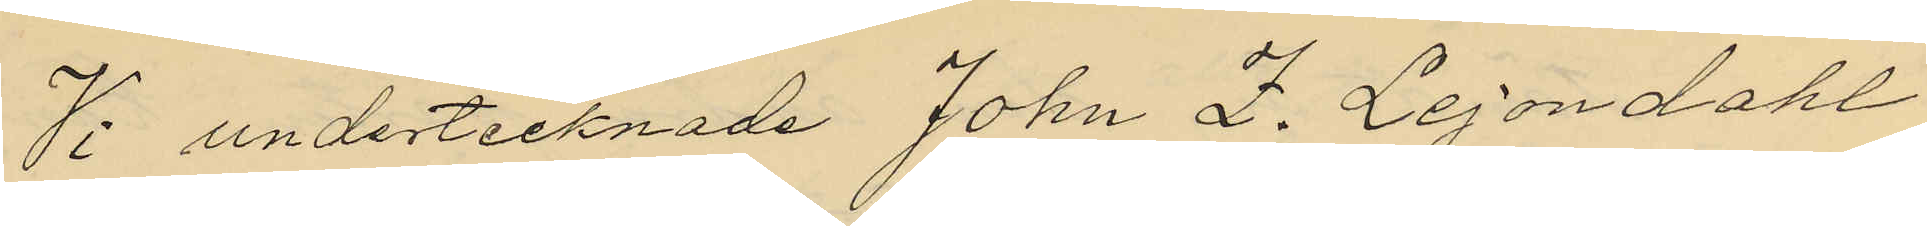Vi undertecknade John Z. Lejondahl
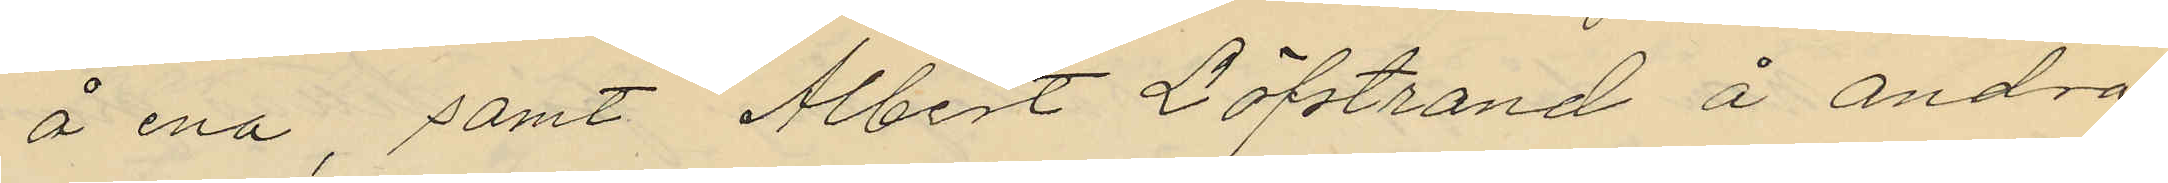å ena, samt Albert Löfstrand å andra
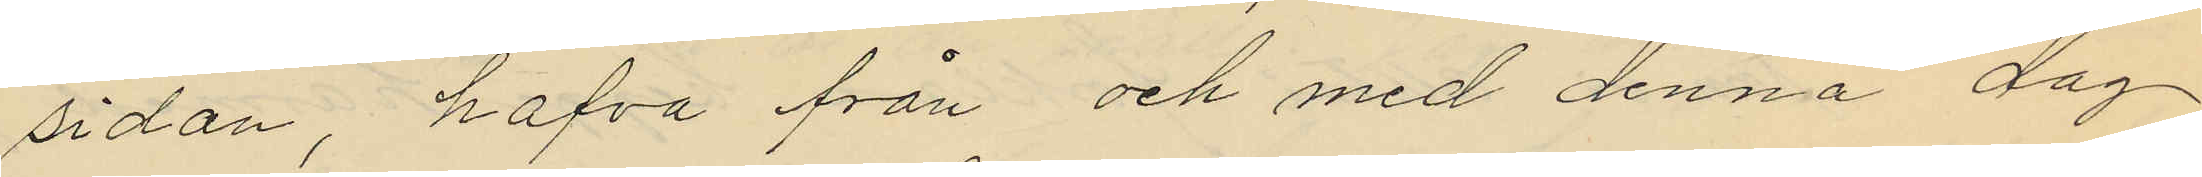sidan, hafva från och med denna dag
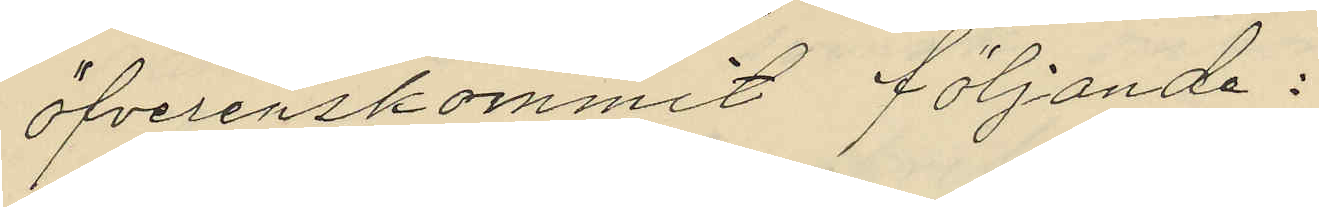öfverenskommit följande:
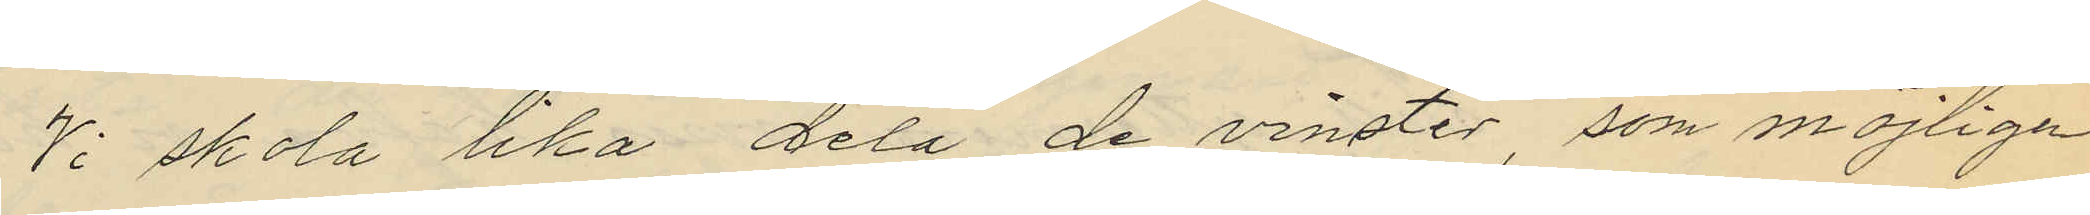Vi skola lika dela de vinster, som möjligen
